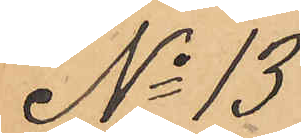No 13
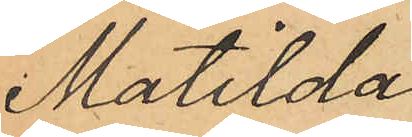Matilda
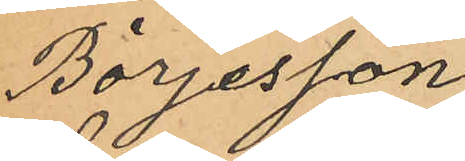Börjesson
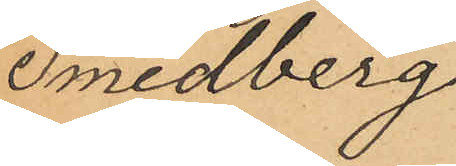Smedberg
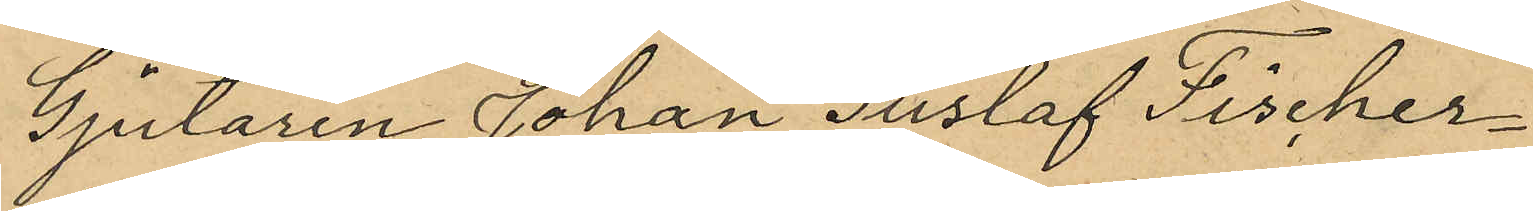Gjutaren Johan Gustaf Fischer¬
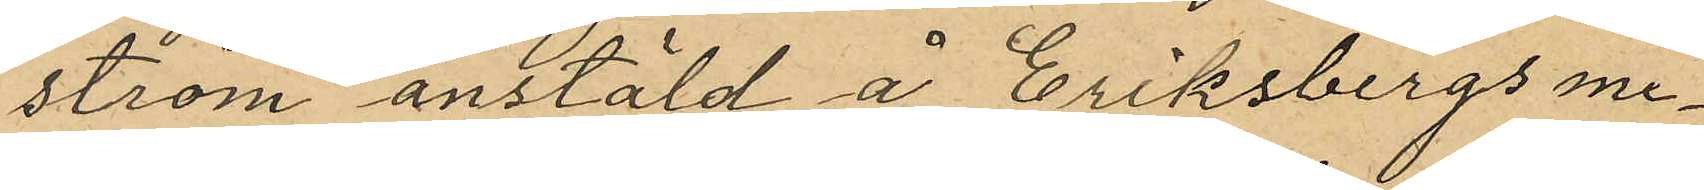ström anstäld å Eriksbergs me¬
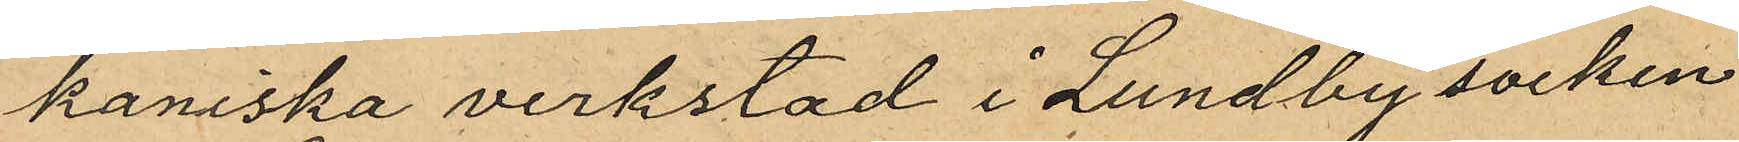kaniska verkstad i Lundby socken
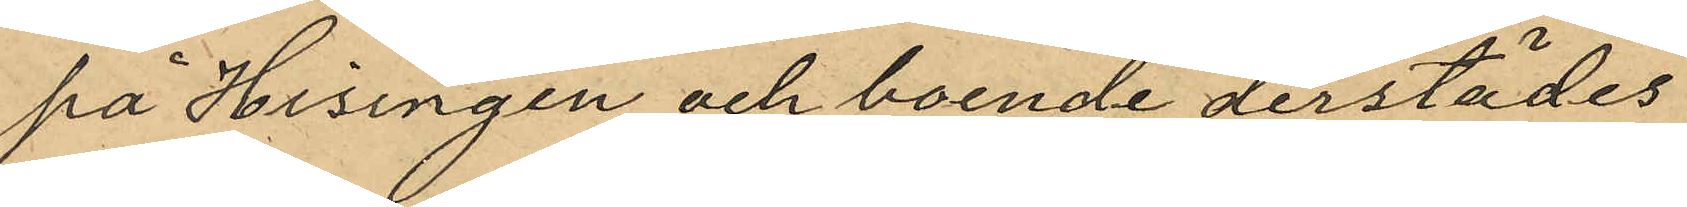på Hisingen och boende derstädes
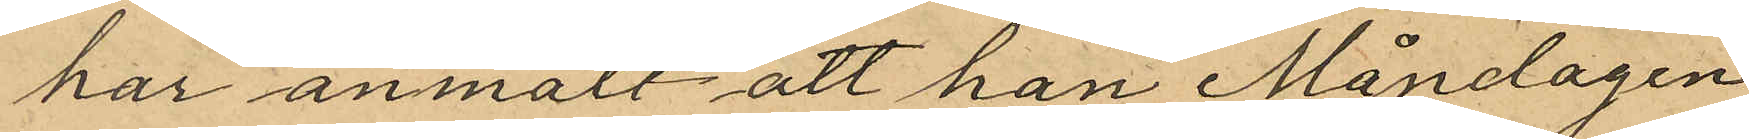har anmält att han Måndagen
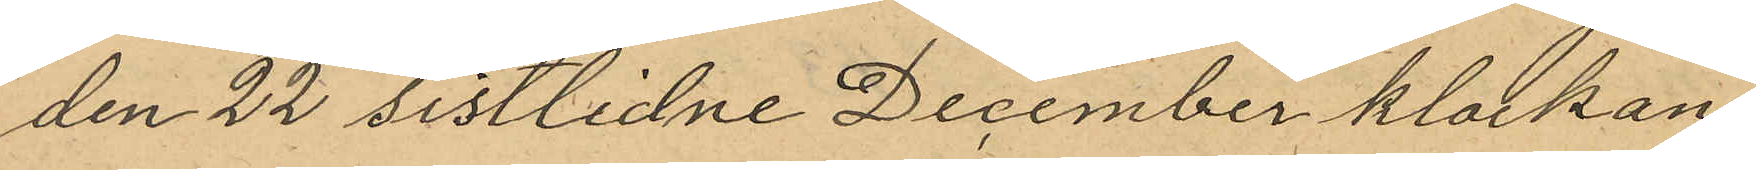den 22 sistlidne December klockan
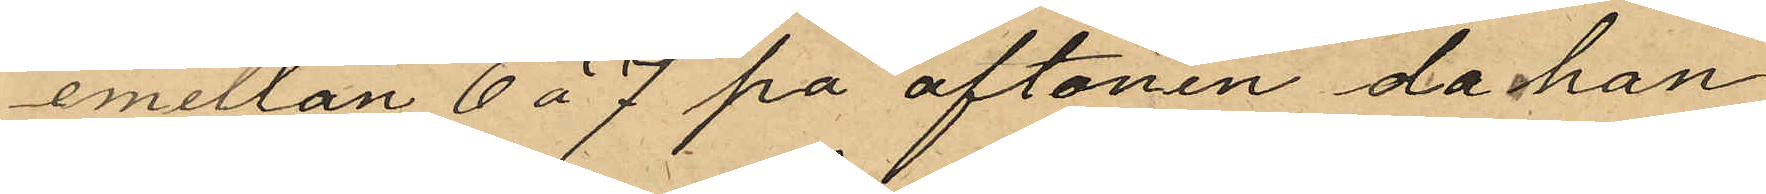emellan 6 á 7 på aftonen, då han
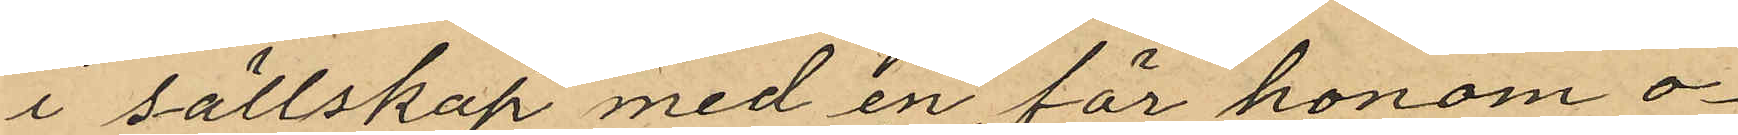i sällskap med en för honom o¬
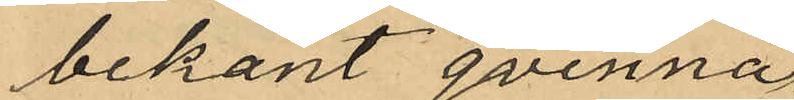bekant qvinna
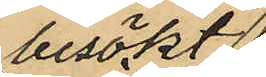besökt
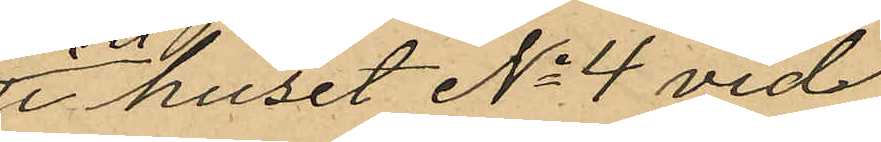i huset No 4 vid
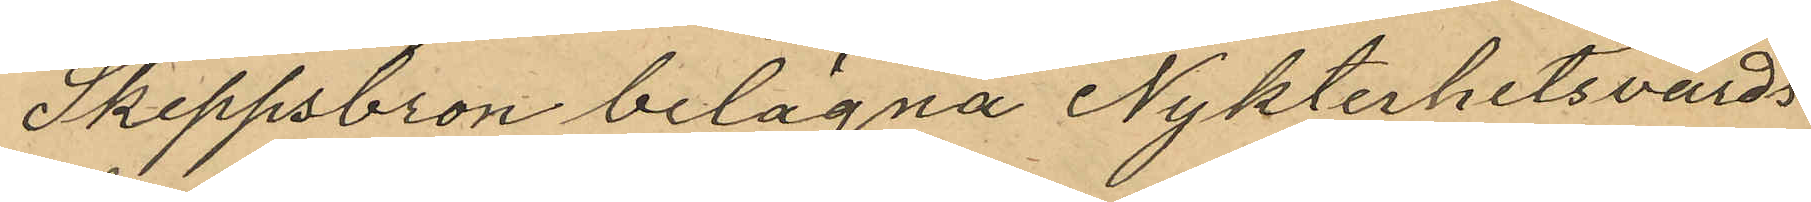Skeppsbron belägna Nykterhetsvärds
